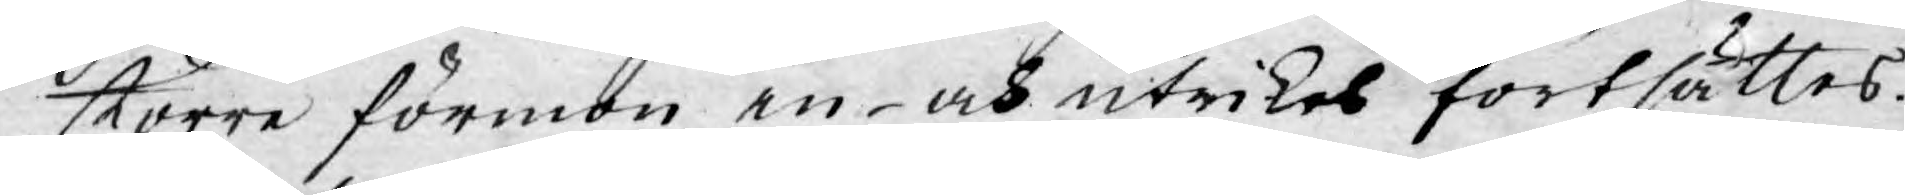större förmon in- och utrikes fortsättes.
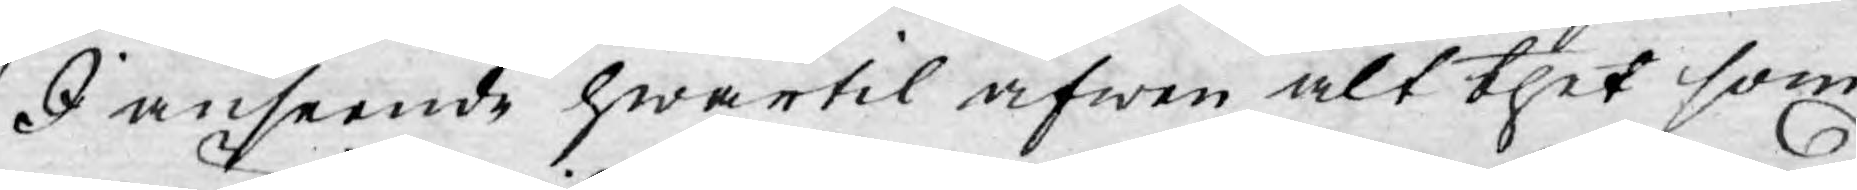I anseende hwartil äfwen alt thet som
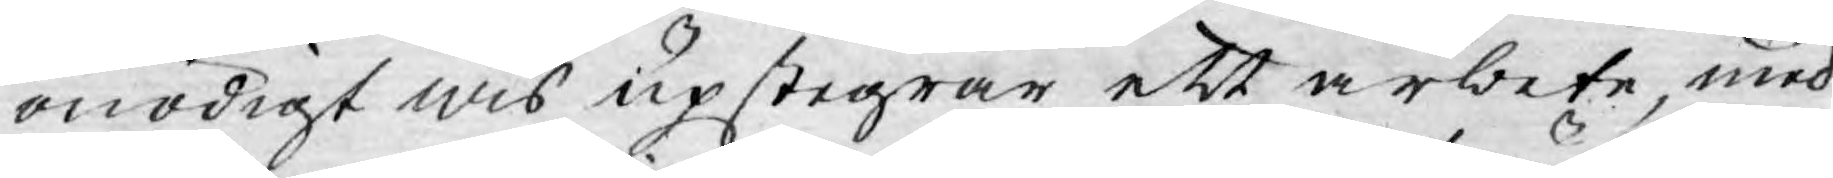onödigt wis upstegrar ett arbete, med
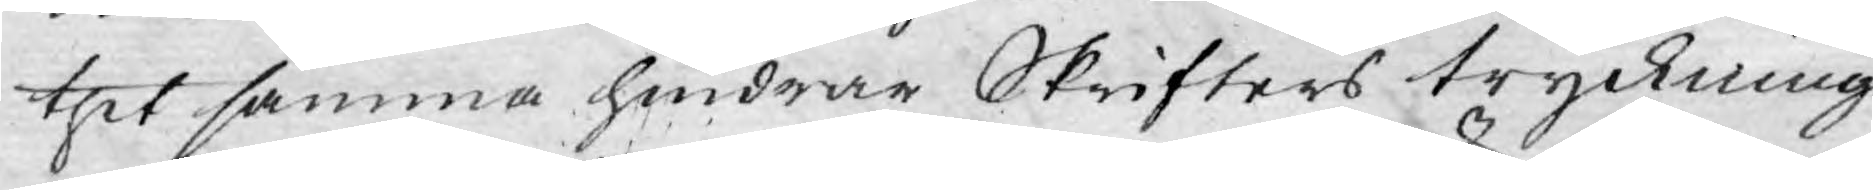thet samma hindrar Skrifters tryckning
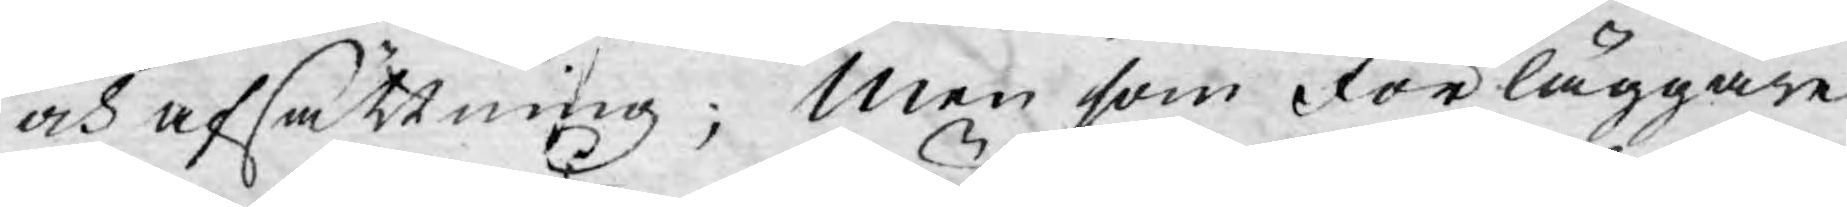och afsättning; Men som förläggare
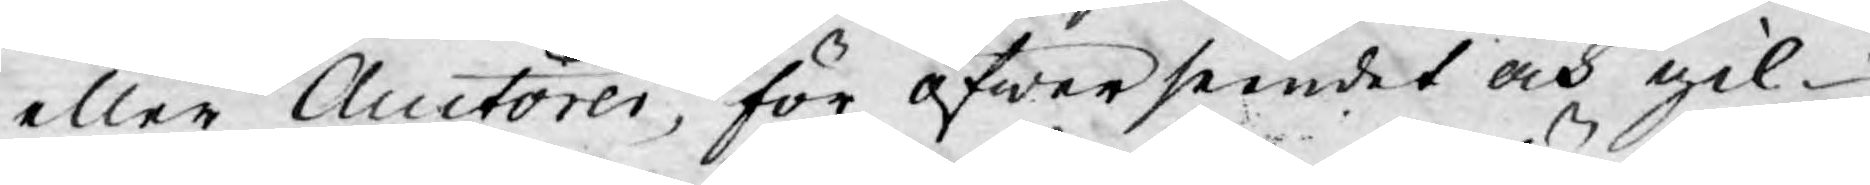eller Auctorer, för öfwerseendet och gil¬
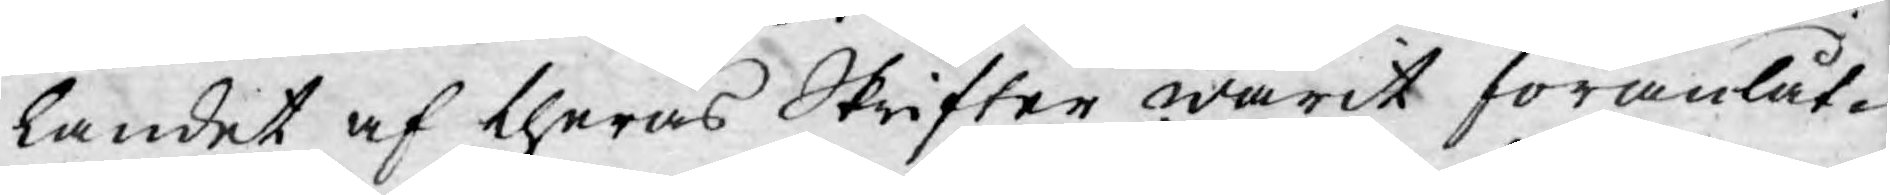landet af theras Skrifter warit föranlåt¬
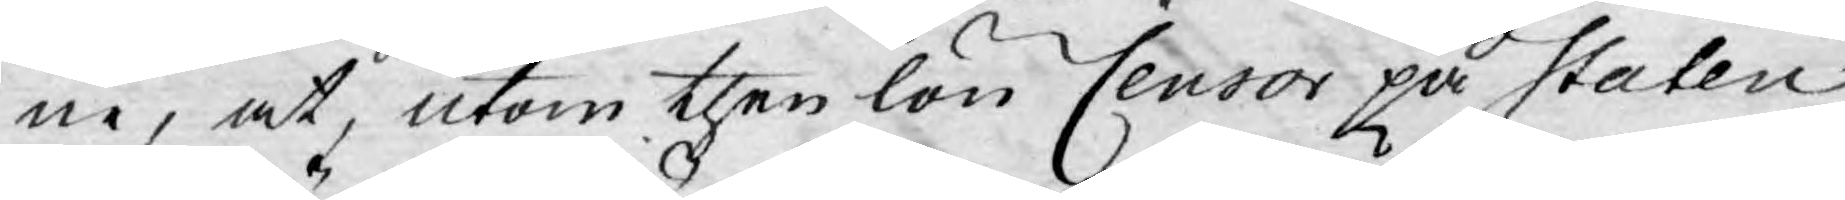ne, at, utom then lön Censor på Staten
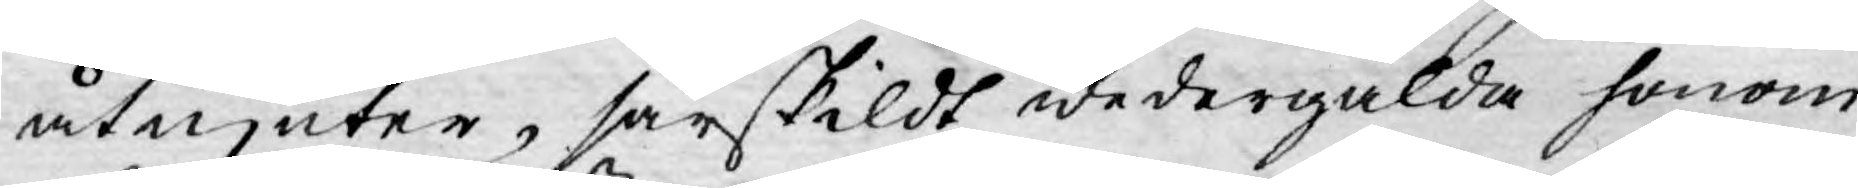åtnjuter, särskildt wedergälda honom
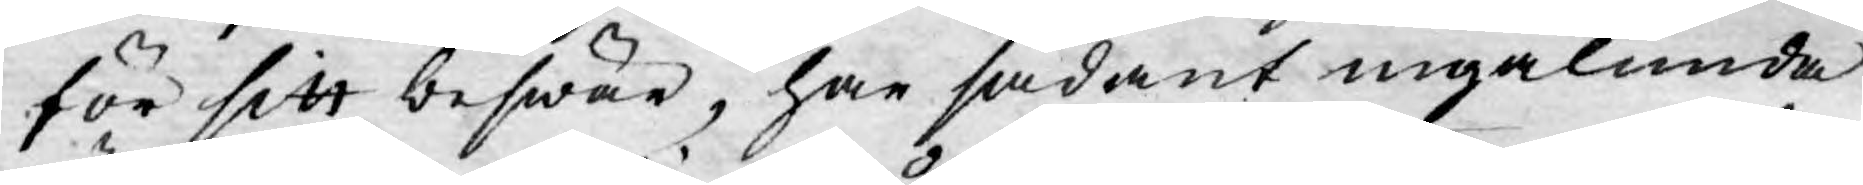för sitt beswär, har sådant ingalunda
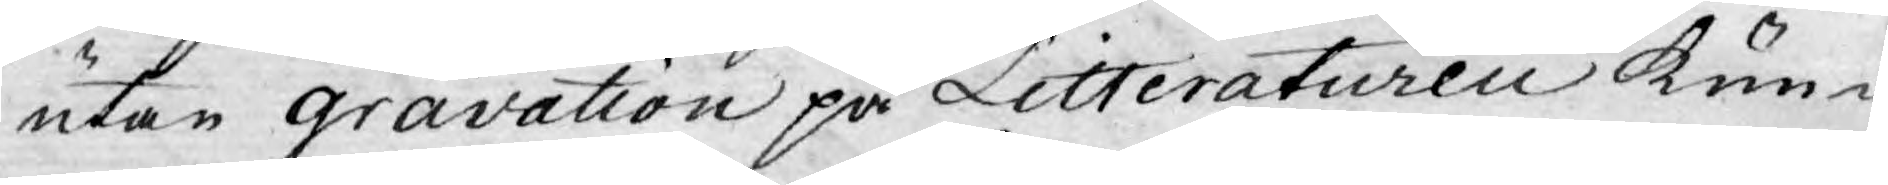utan gravation på Litteraturen kun-
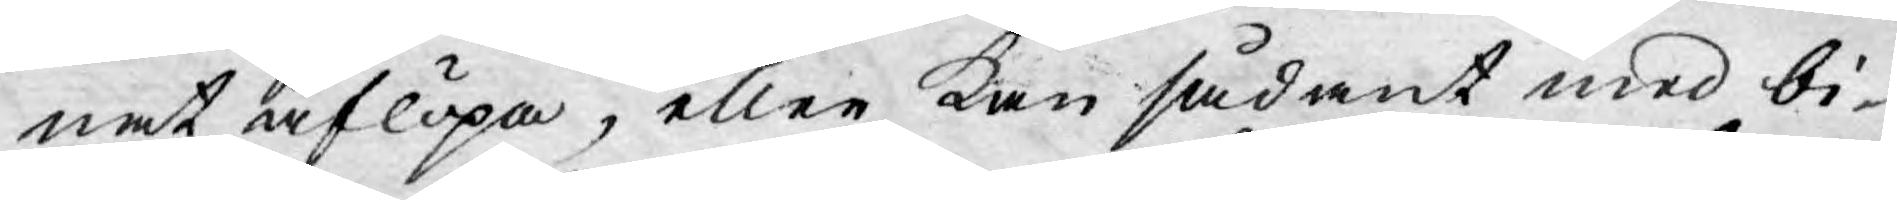nat aflöpa, eller kan sådant med bi-
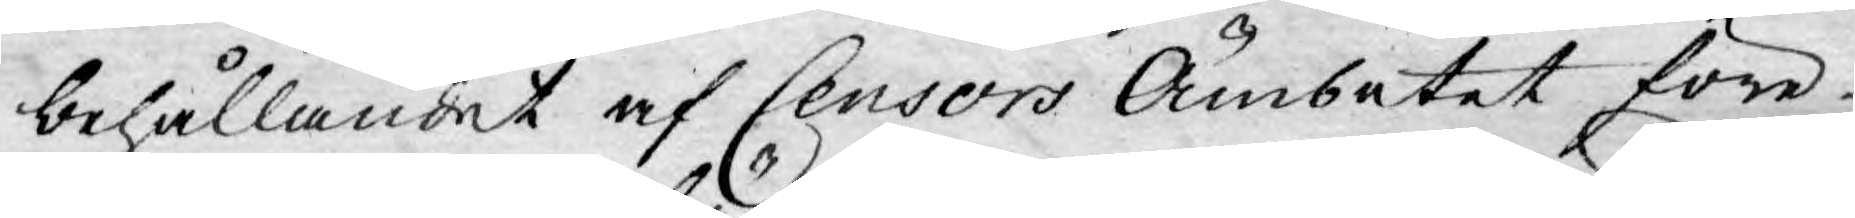behållandet af Censors Ämbetet före¬
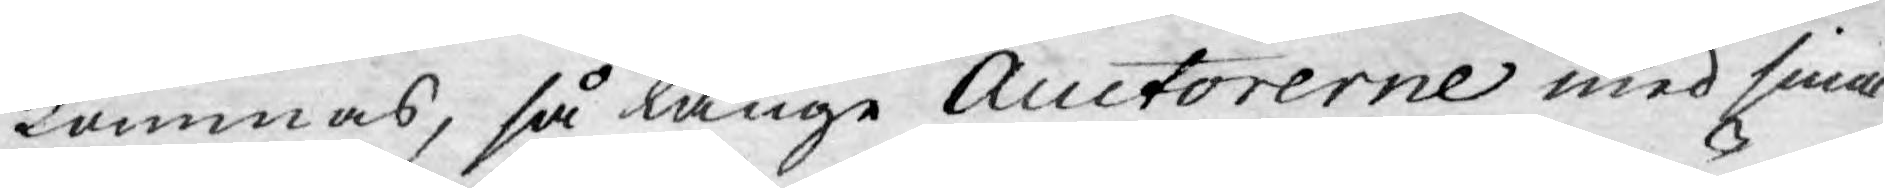kommas, så länge Auctorerne med sina
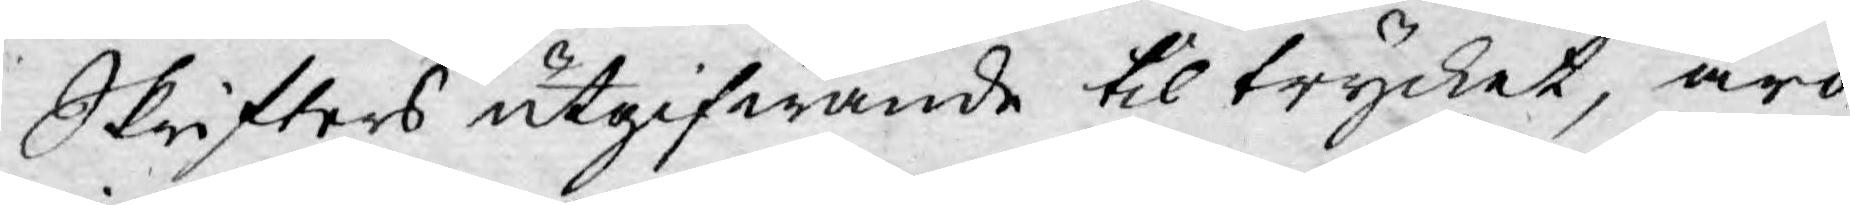Skrifters utgifwande til trycket, äro
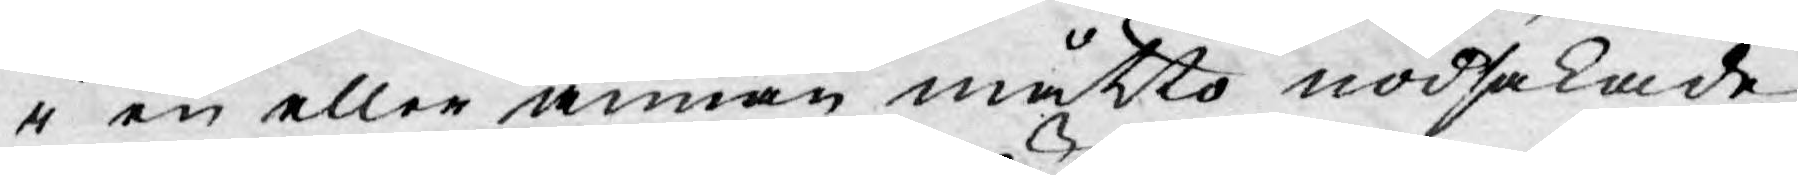i en eller annan måtto nödsakade
